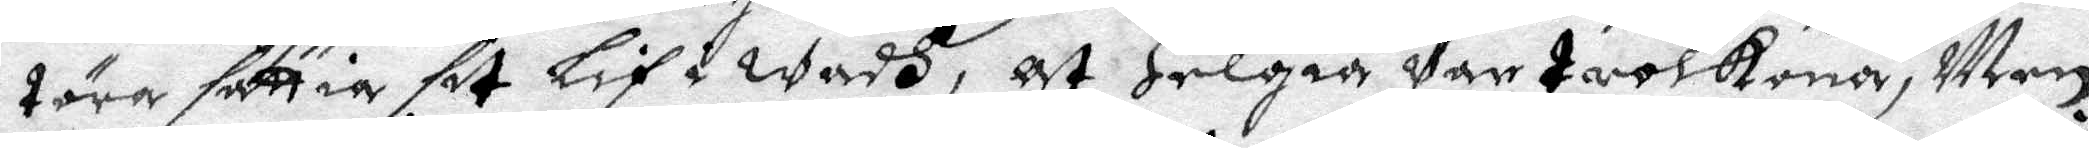töra sättia sit Lif i wadh, at Helgia war trolkona, Men
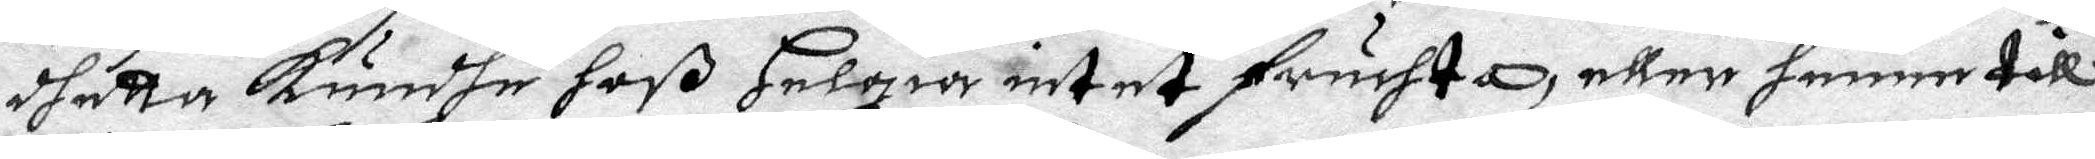dhetta kundhe hoß Helgia intet fruchta, eller henne till
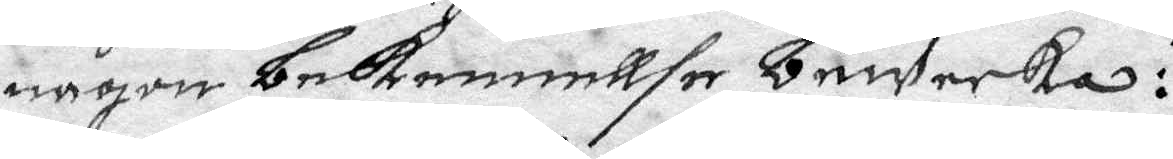någon bekennellse bewecka:
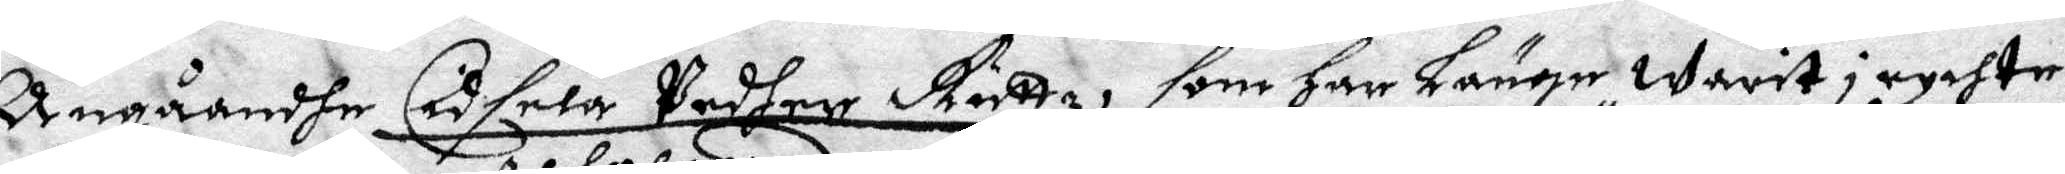Angåandhe Cidsela Pedher Ruttz, som har Länge warit i rychte
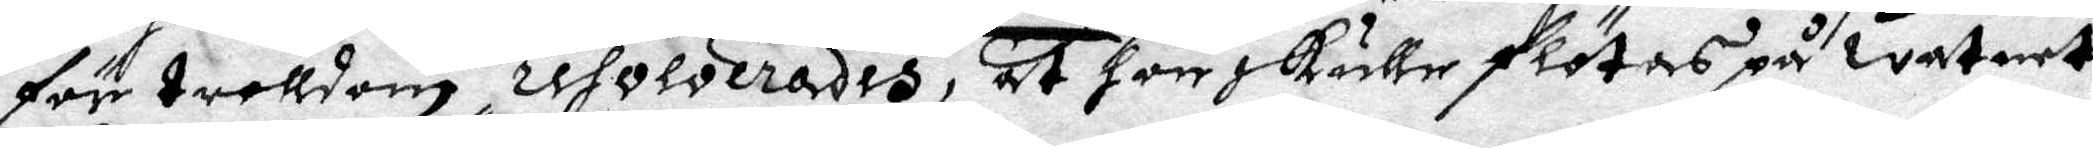för trolldom resolverades at hon skulle flötas på watnet
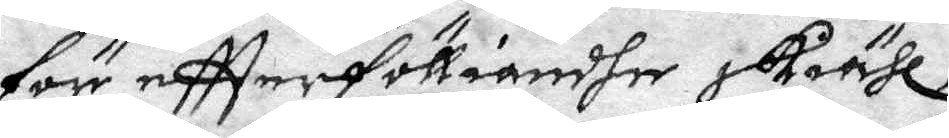för effterföliandhe skiähl;
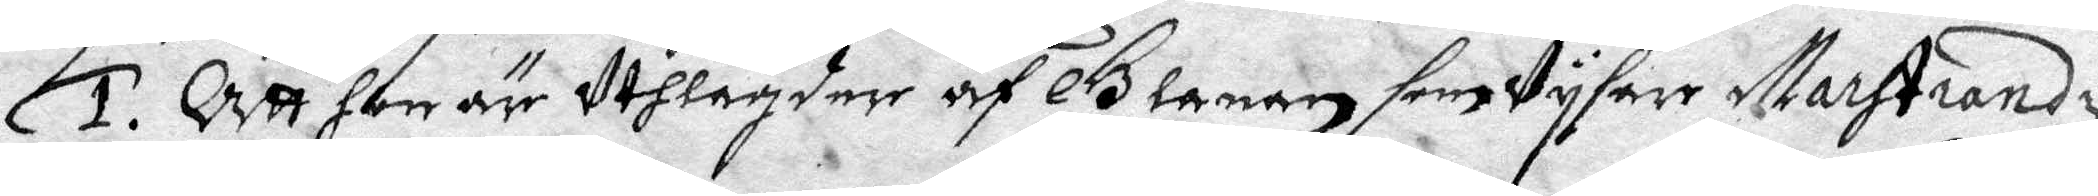1. Att hon är uthlagder af Glanan som Vysare Marhstrandz
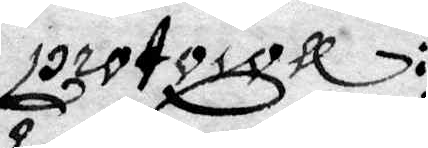Protocoll:.
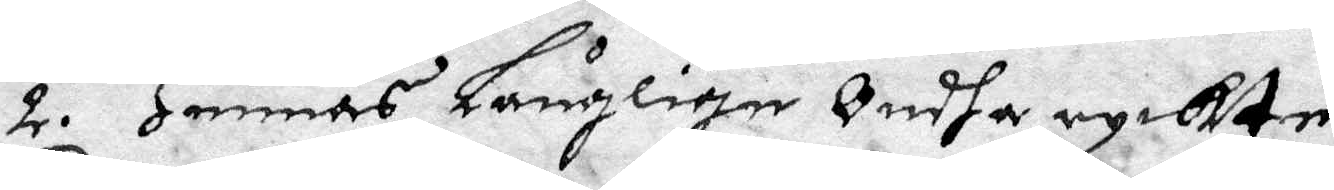2. Hennes Långlige Ondha ryckte
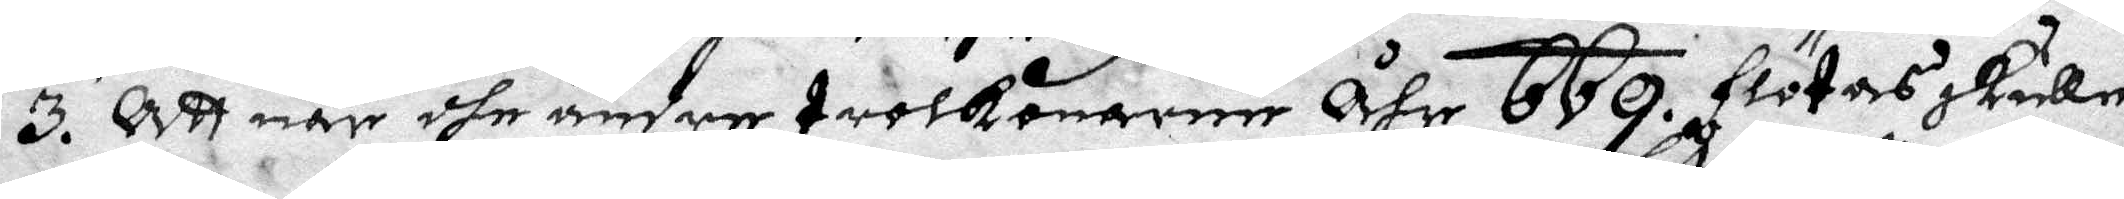3. Att när dhe andre trolkonarne åhr 669. flötas skulle
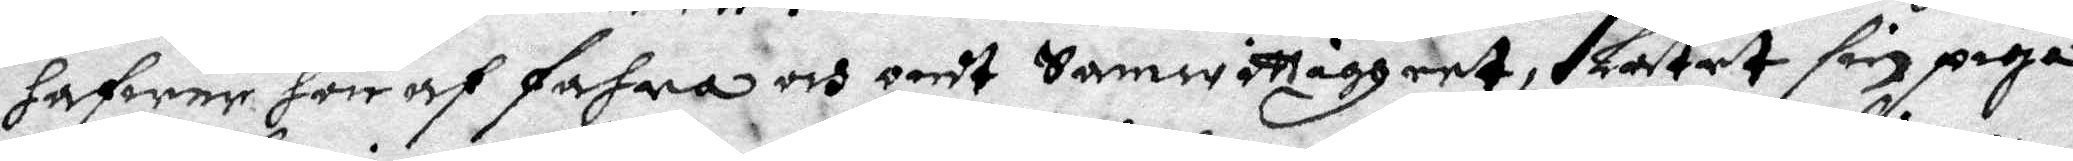hafwer hon af fahra och ondt Samwittigheet, Låtet sin piga
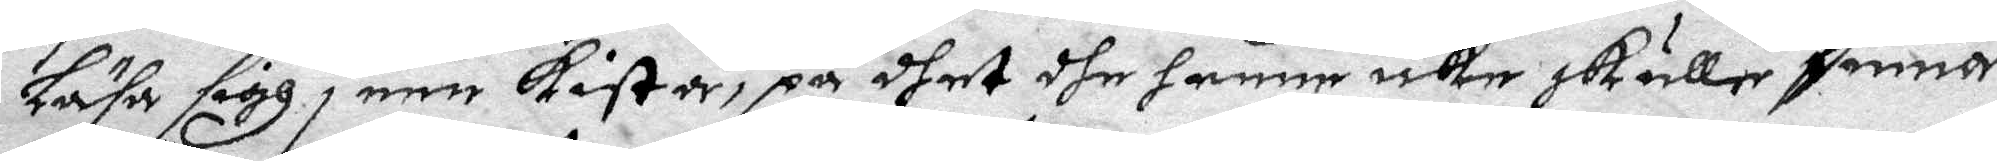Låsa sigh i een kista, på dhet dhe henne icke skulle finna
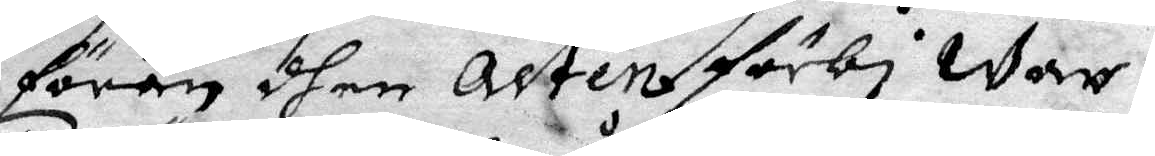förän dhen Acten förbi war.
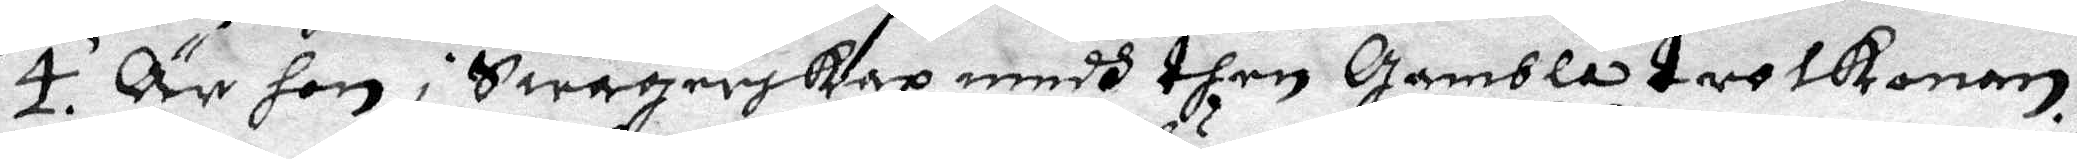4. Är hon i Swågerskap medh then Gamble trolkonan
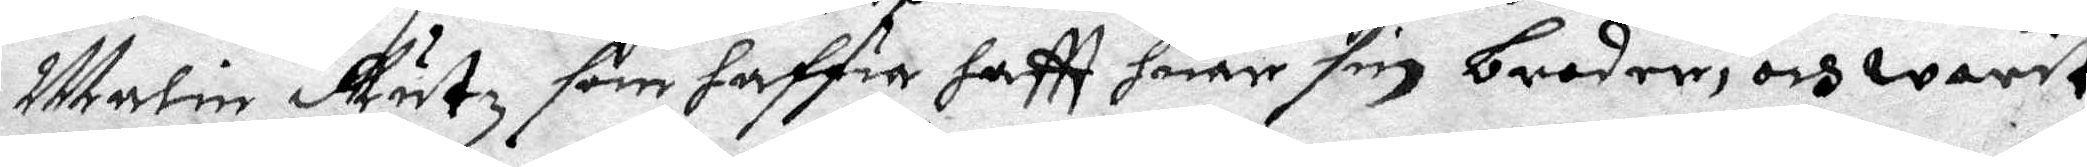Malin Rutz som haffa haftt huar sin broder, och warit
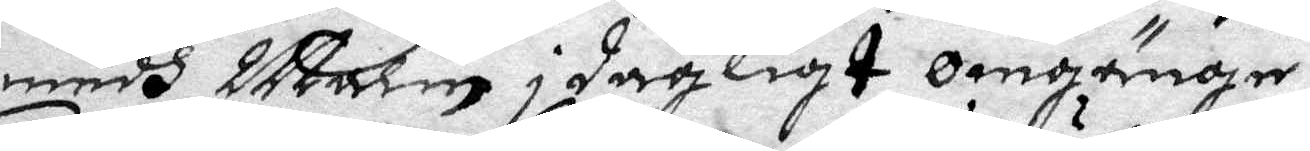medh Malin ii dagligt omgänge.
